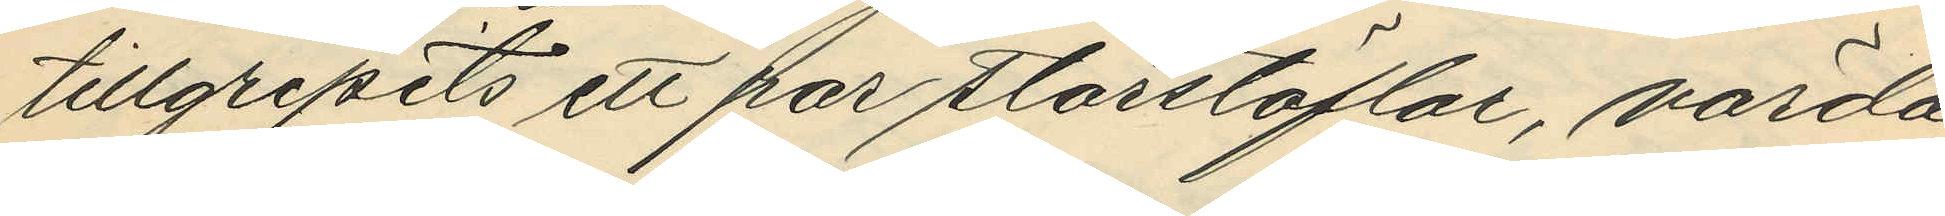tillgripits ett par storstöflar, värda
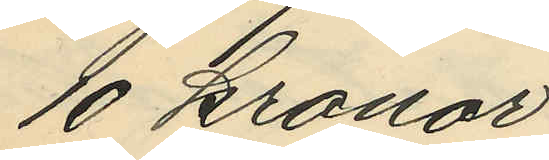10 kronor.
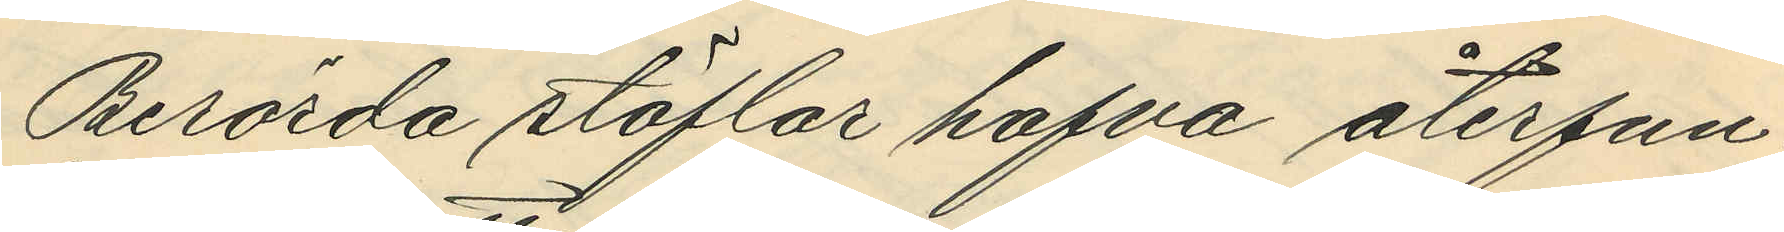Berörda stöflar hafva återfun¬
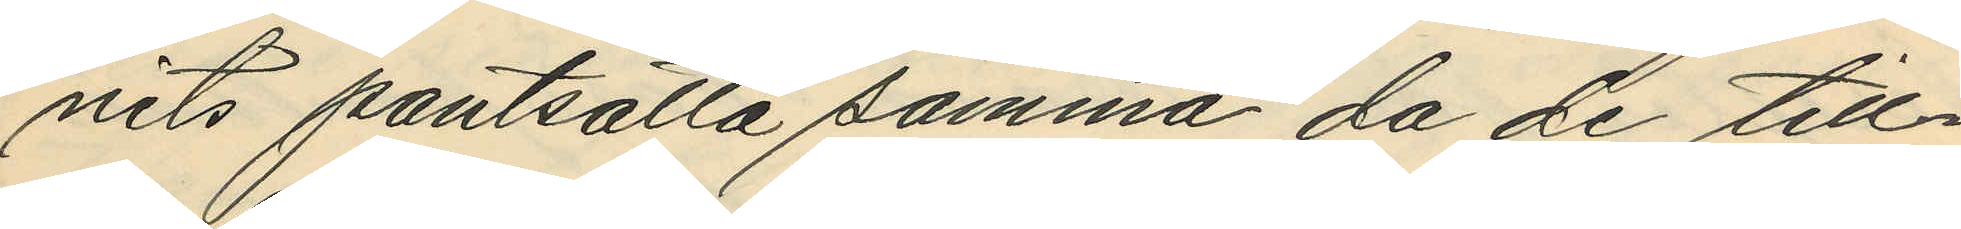nits pantsatta samma da de till¬
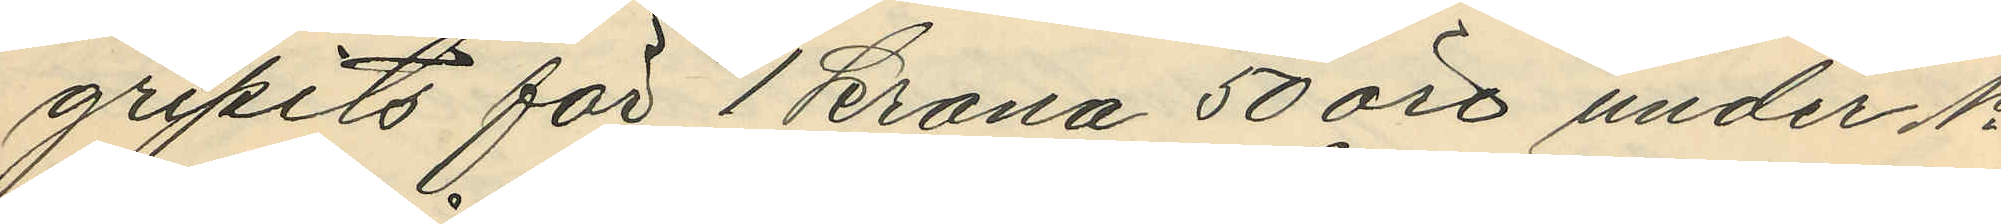gripits för 1 krona 50 öre under No
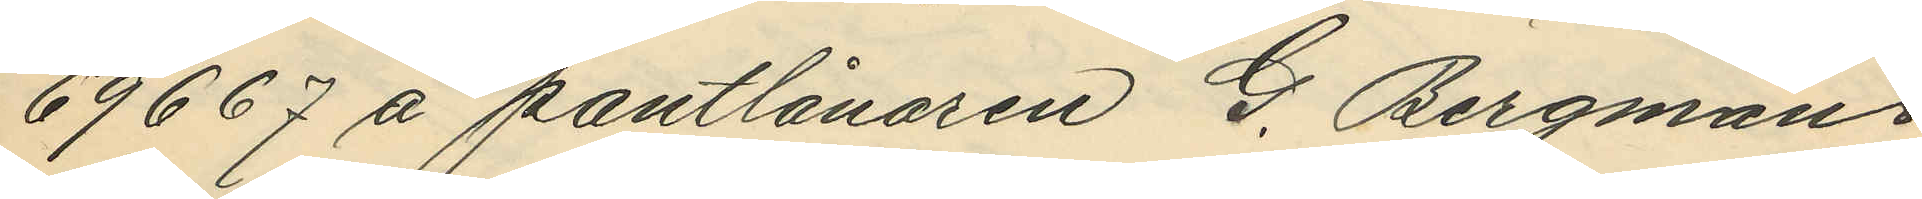69667 å pantlånaren G. Bergmans
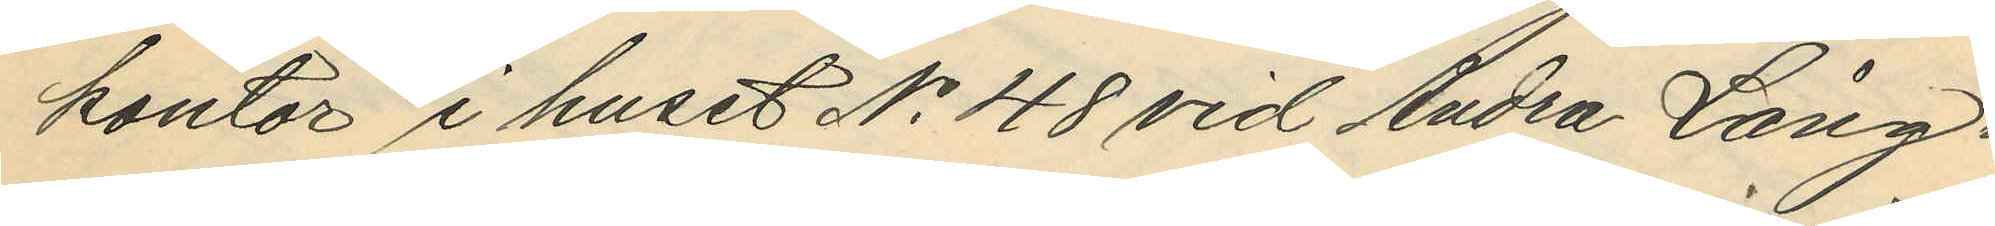kontor i huset No 48 vid Andra Lång¬
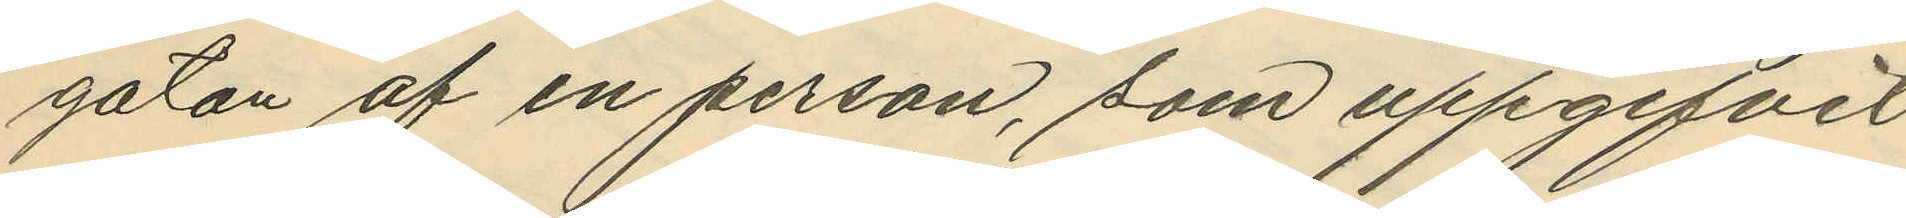gatan af en person, som uppgifvit
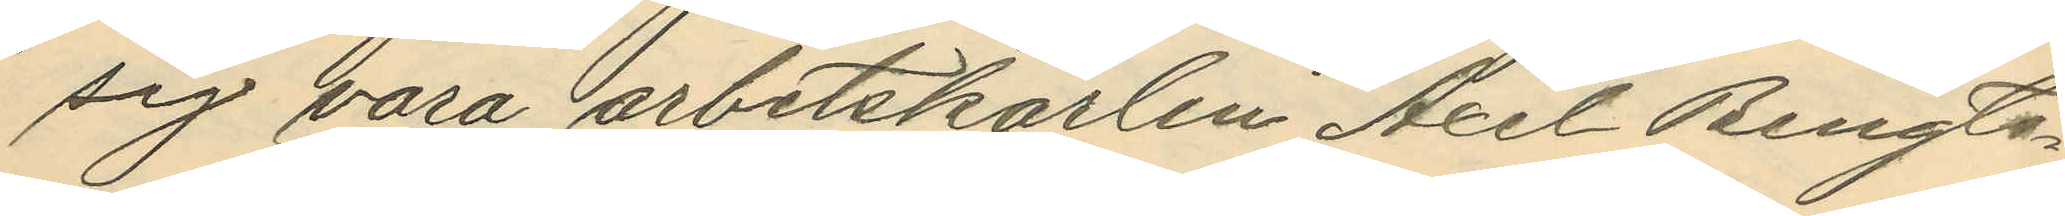sig vara arbetskarlen Axel Bengts¬
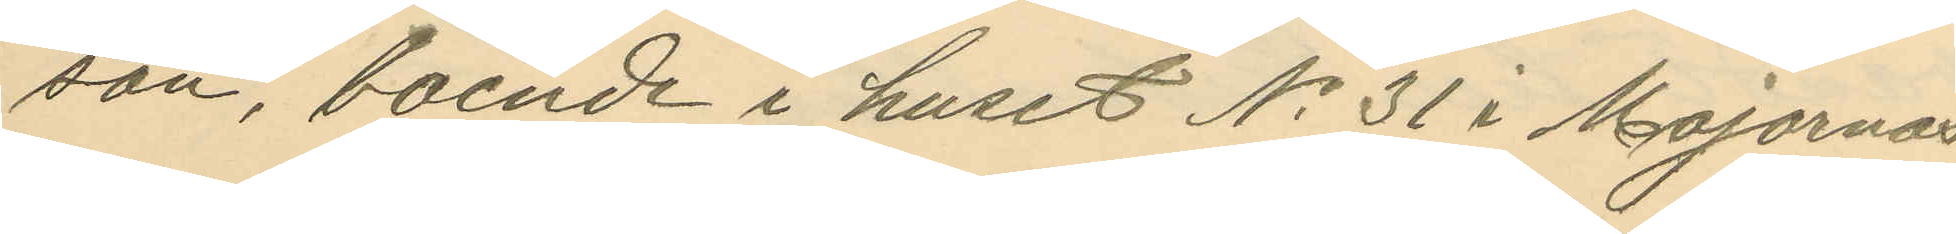son, boende i huset No 31 i Majornas
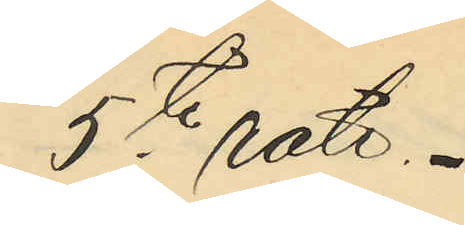5te rote.
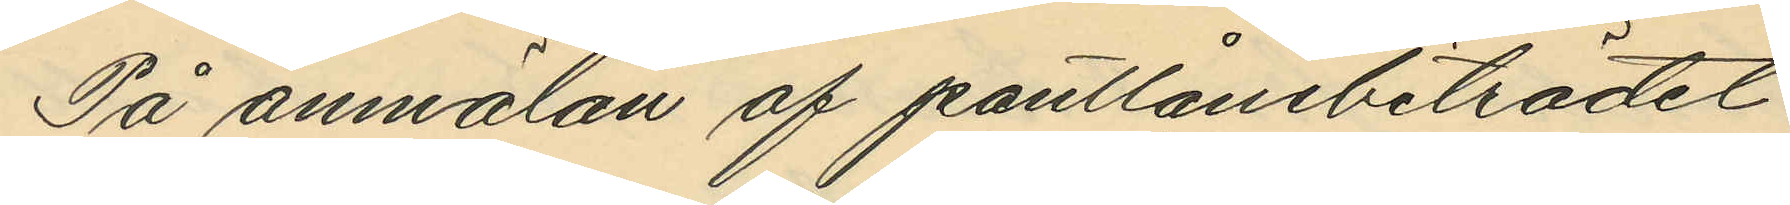På anmälan af pantlånebiträdet
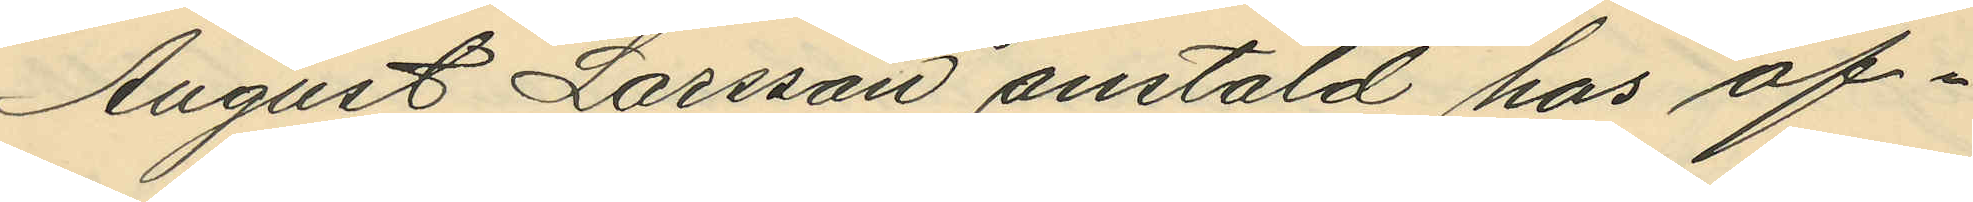August Larsson anstäld hos of¬
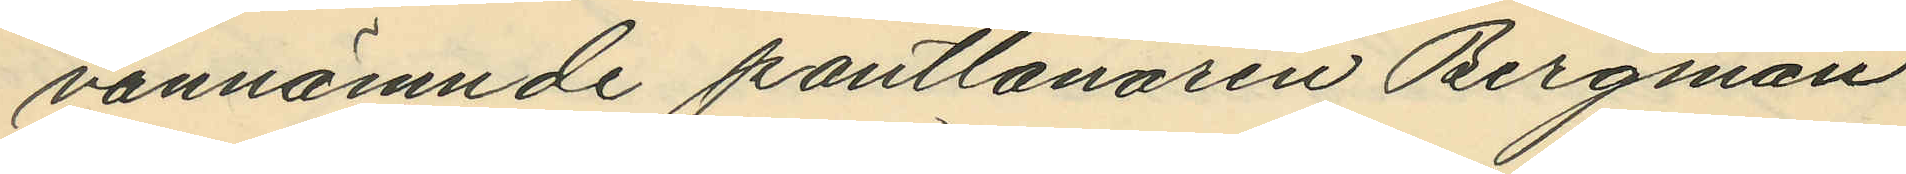vannämnde pantlånaren Bergman
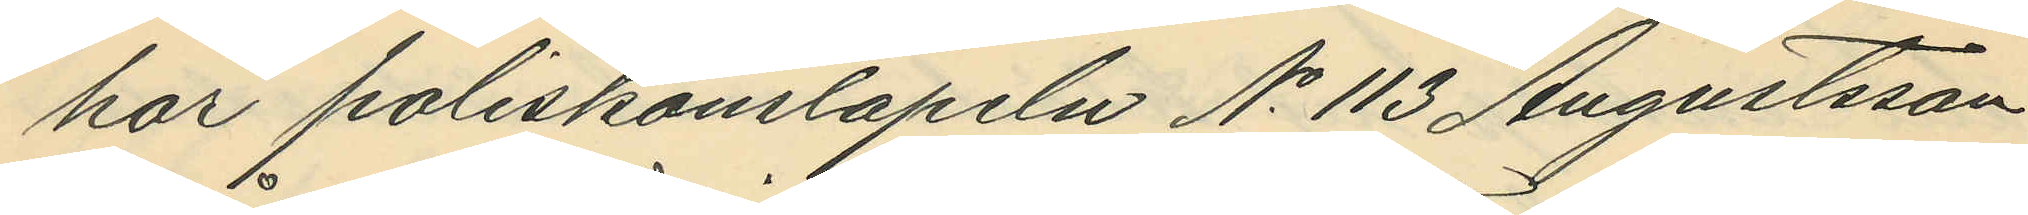har poliskonstapeln No 113 Augustsson
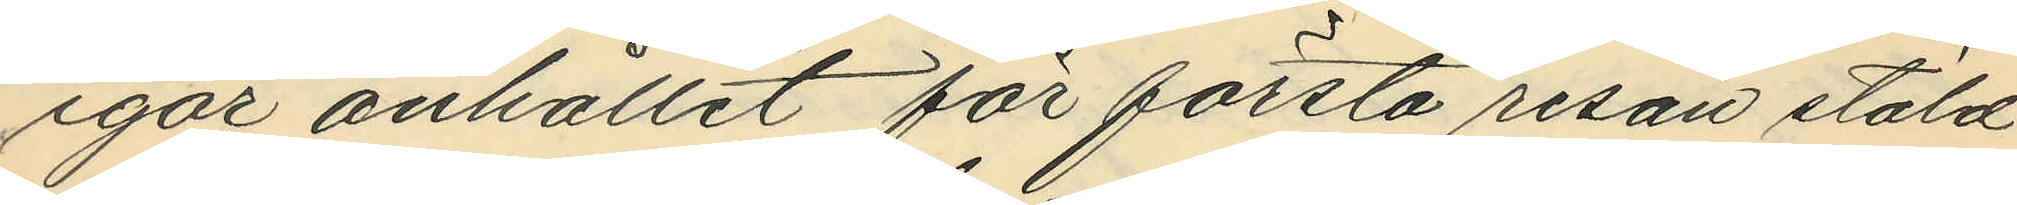igår anhållit för första resan stöld
